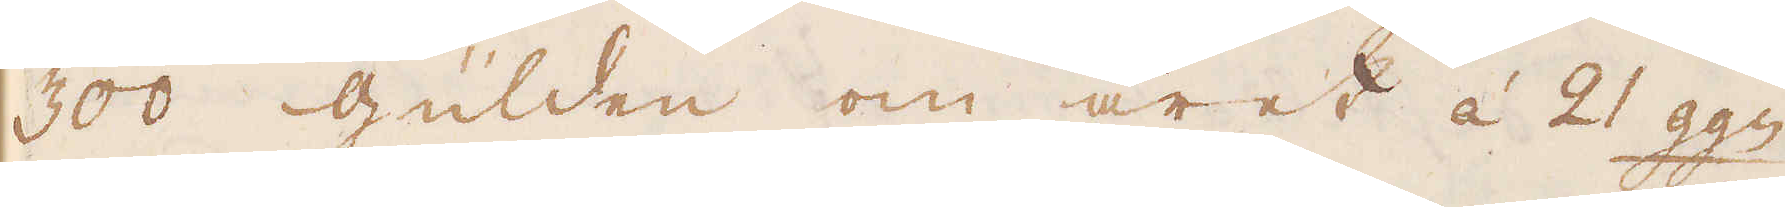300 Gulden om året á 21 ggn
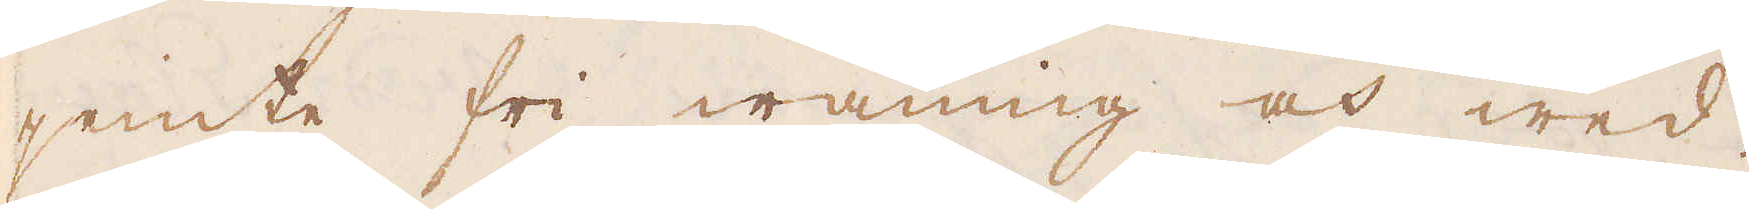jemte fri wåning och wed.
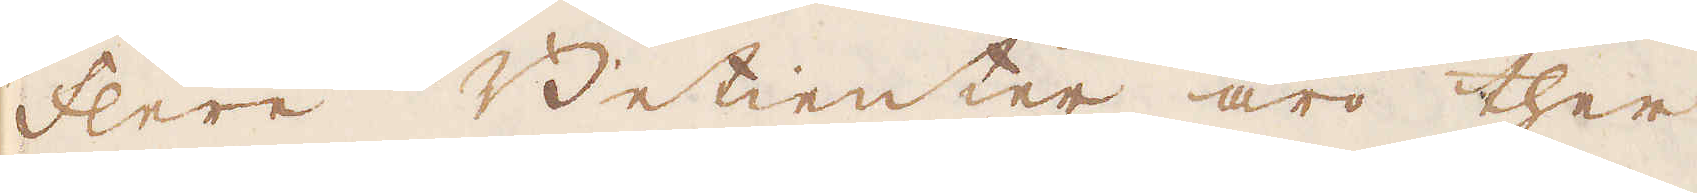Flere Betienter äro ther
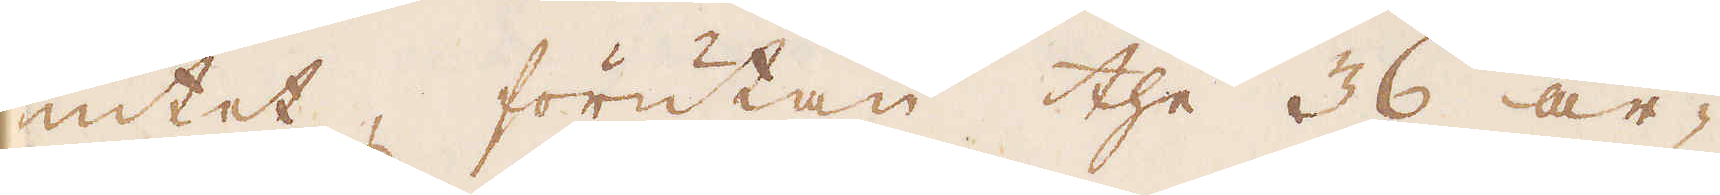intet, förutan the 36 ar-
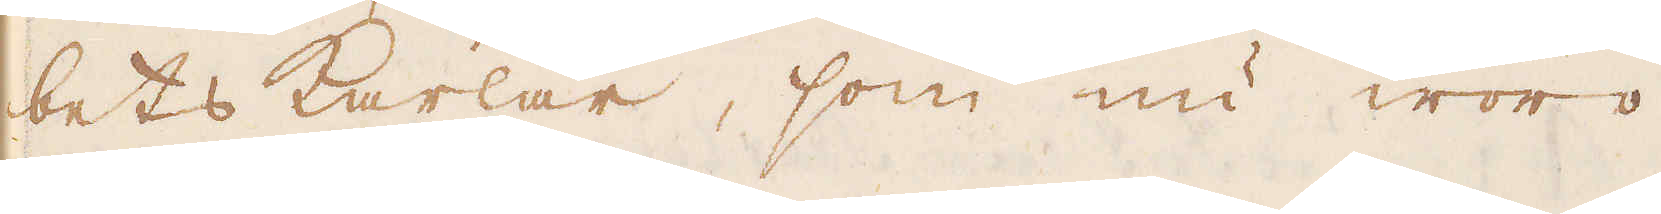bets karlar, som nu woro
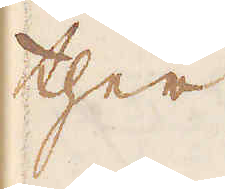ther
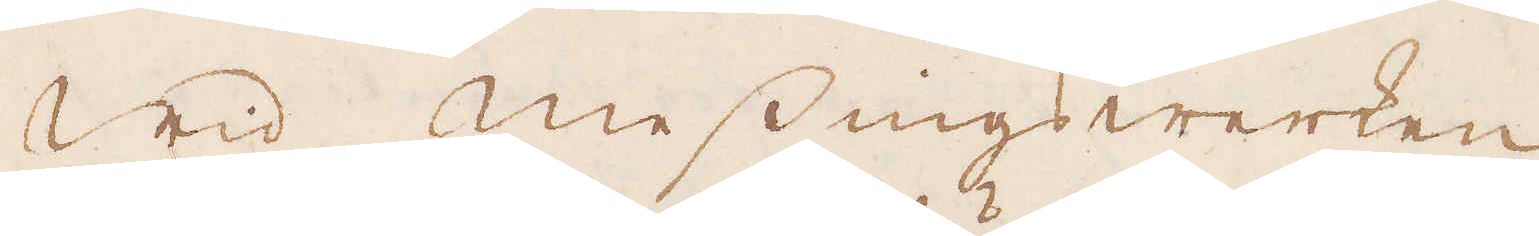Wid messingswerken
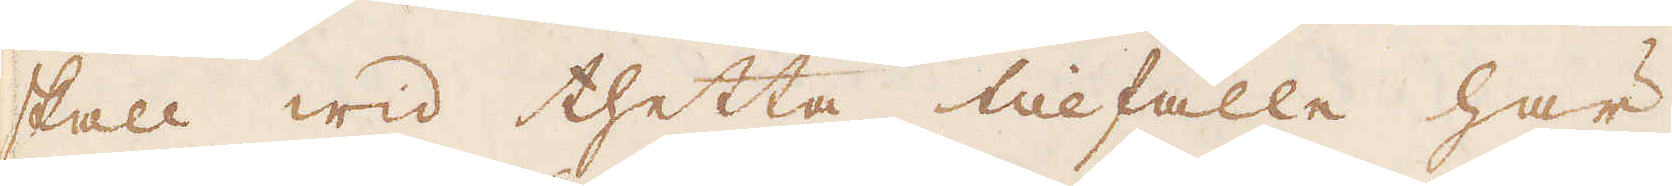skall wid thetta tillfälle här
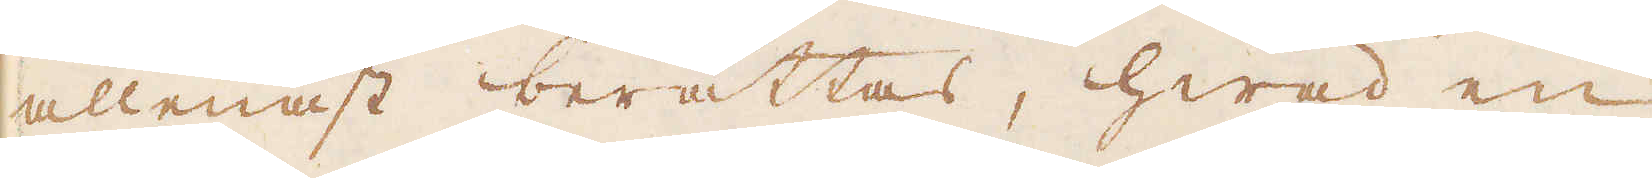allenast berättas, hwad en
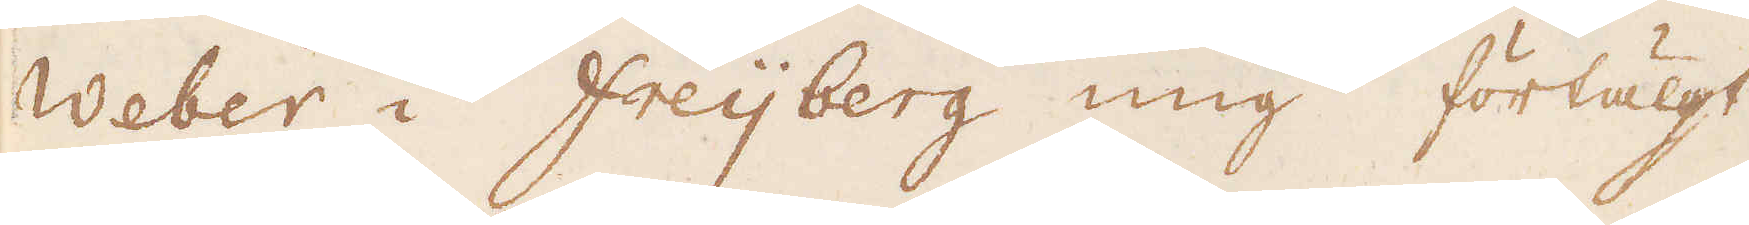Weber i Freijberg mig förtälgt
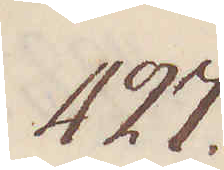427.
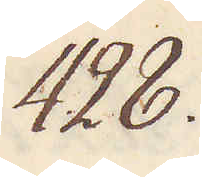428.
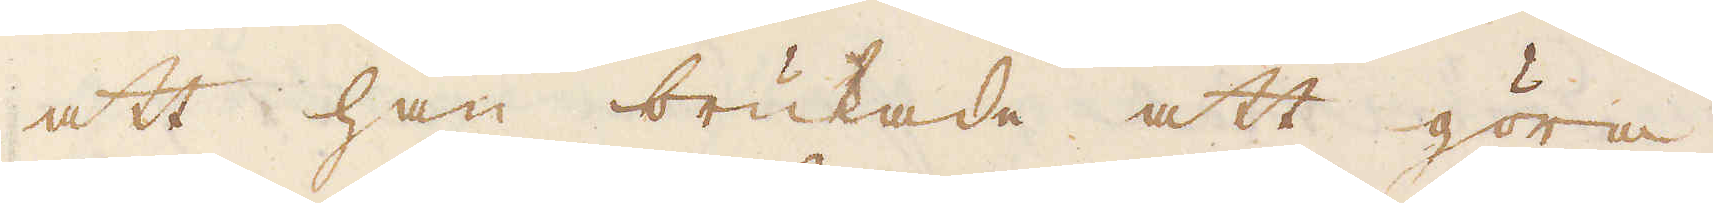att han brukade att göra
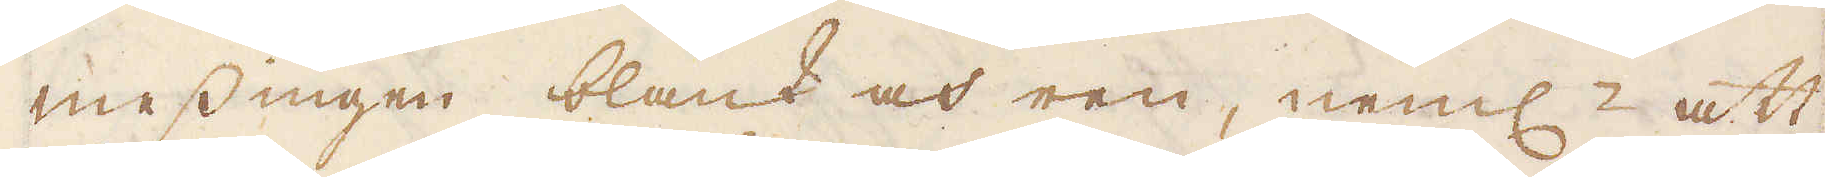messingen blank och ren, neml: att
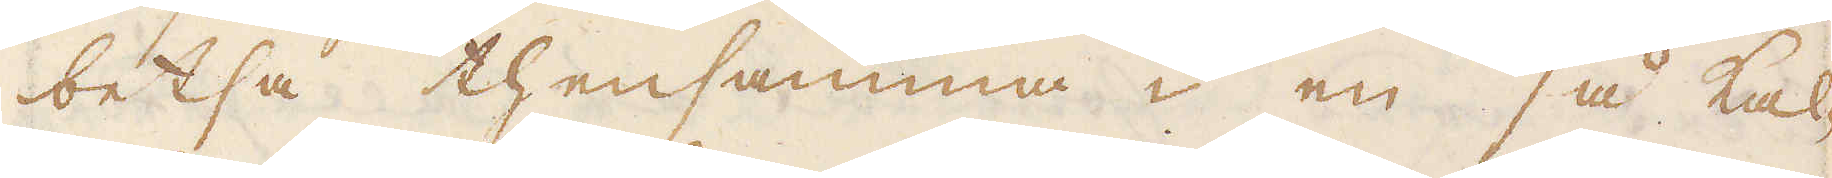betsa thensamma i en så kal-
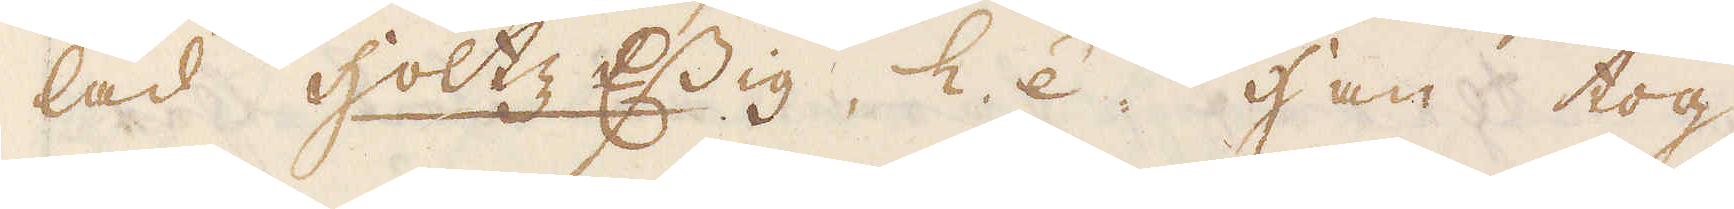lad holtz Essig, h.e.. Han tog
